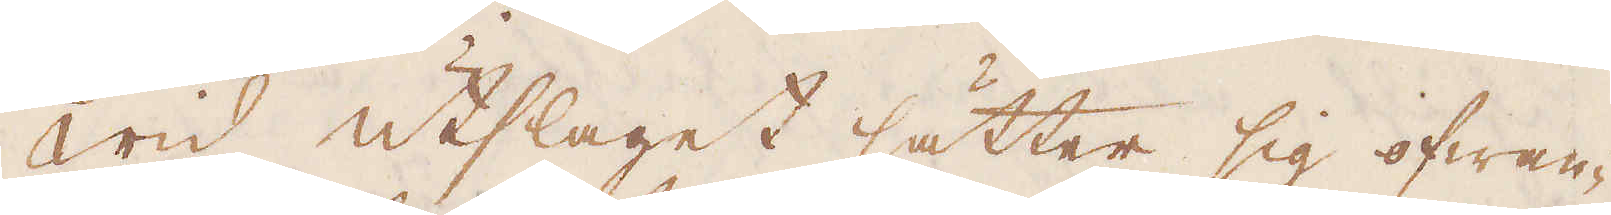Wid utslaget sätter sig ofwan-
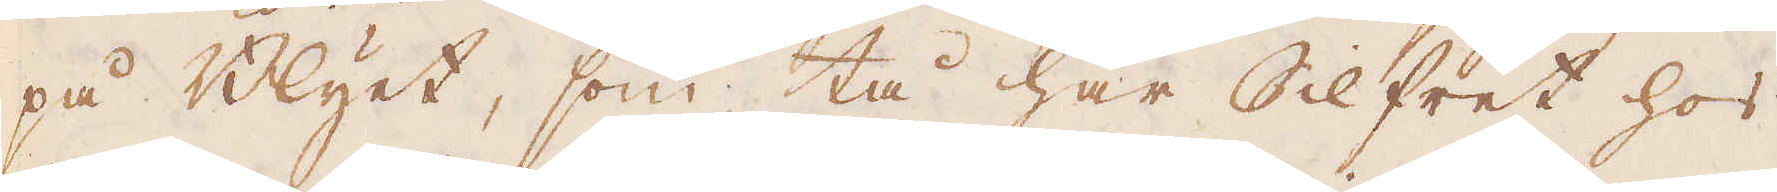på Blyet, som tå har Silfret hos
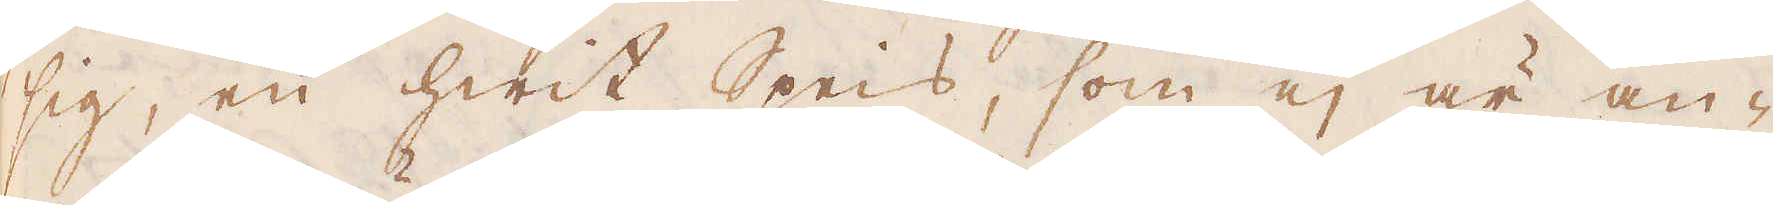sig, en hwit Speis, som ej är an-
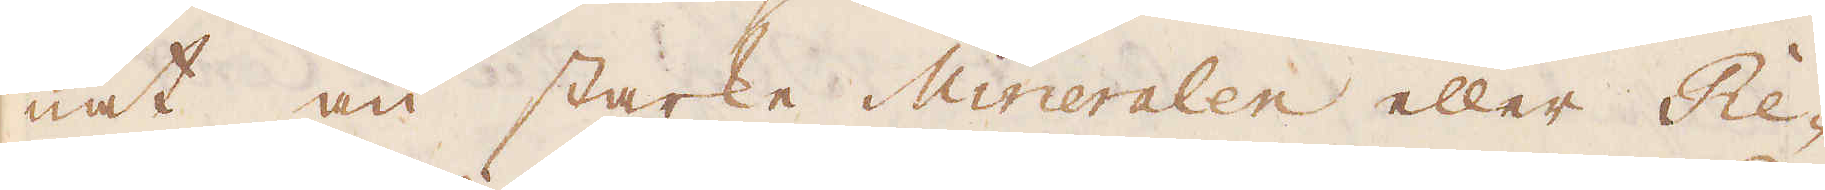nat än starke Mineralen eller Re-
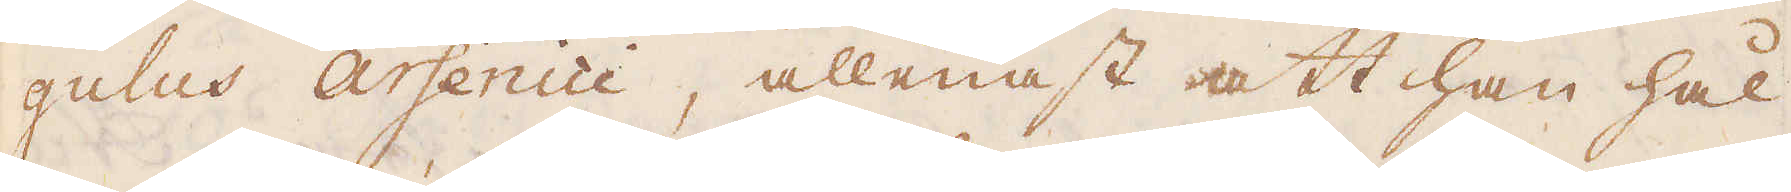gulus arsenici, allenast att han hål-
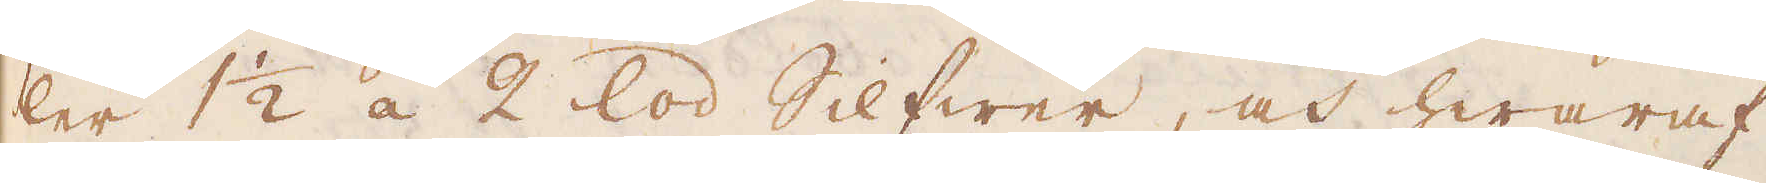ler 1 1/2 á 2 lod Silfwer, och hwaraf
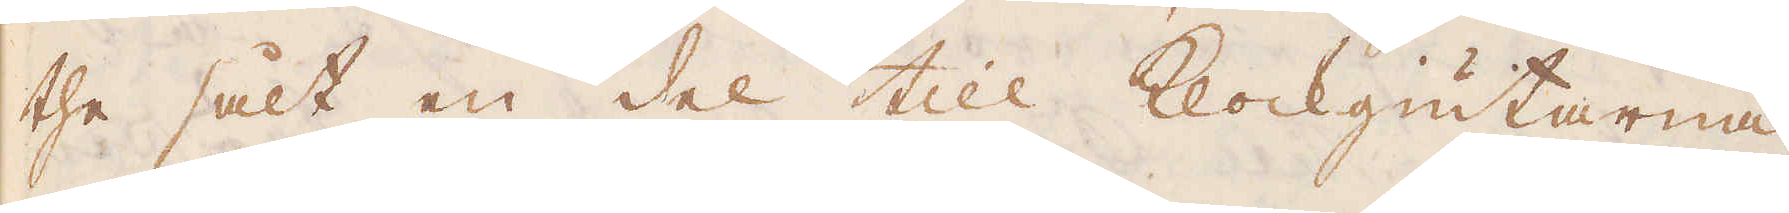the sålt en del till klockgiutarna
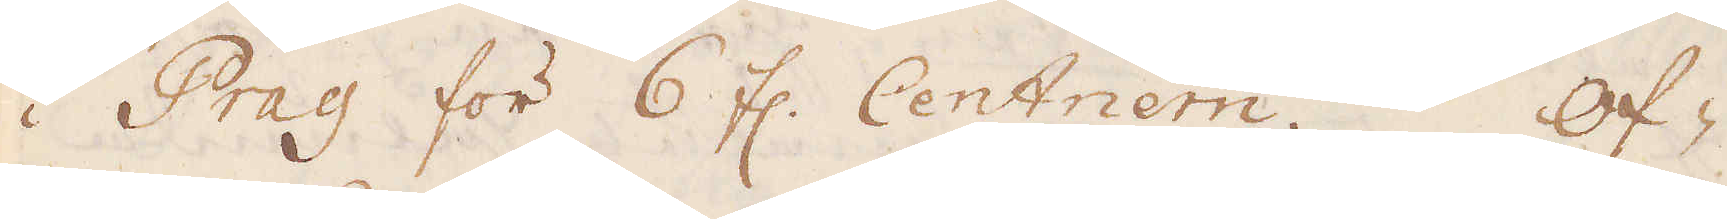i Prag för 6 fl. Centnern. Of-
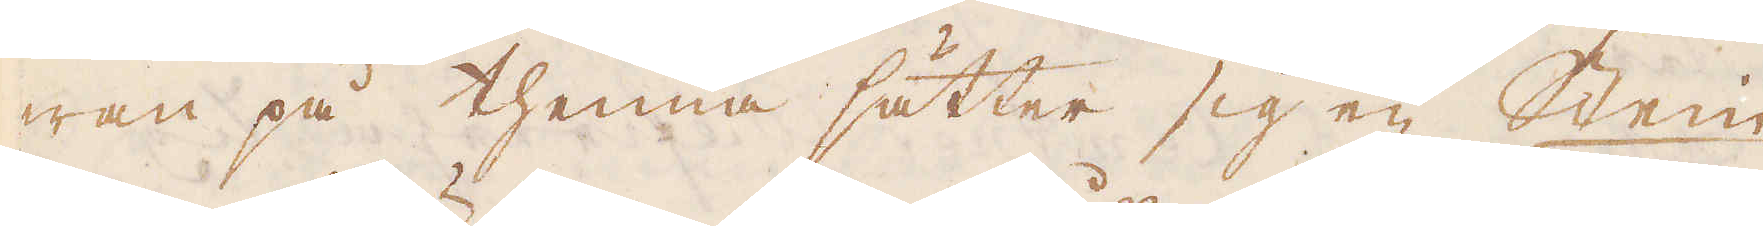wan på thenna sätter sig en Stein
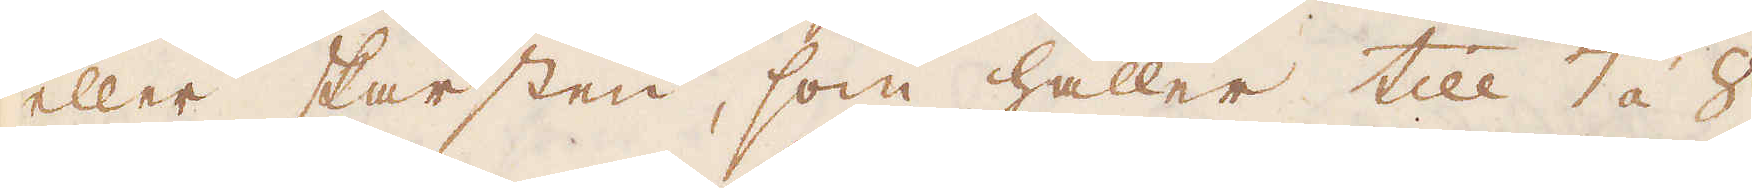eller skärsten, som håller till 7 á 8
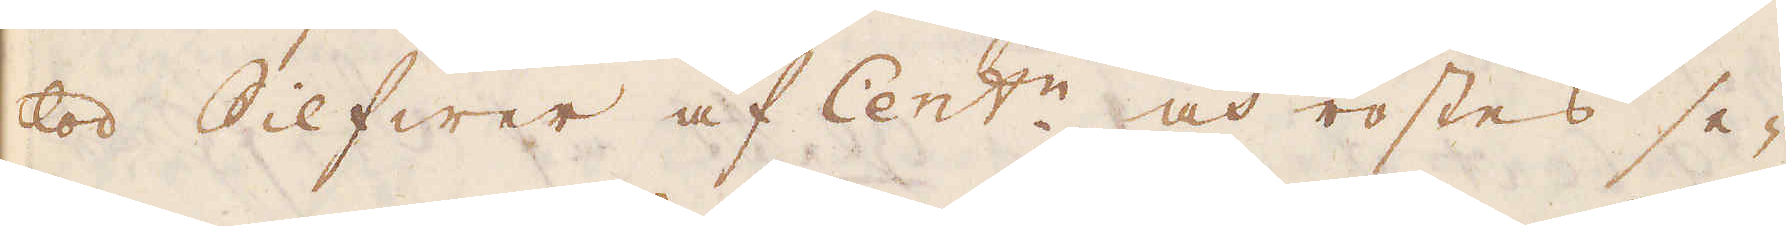lod Silfwer af Cent:n och rostes se-
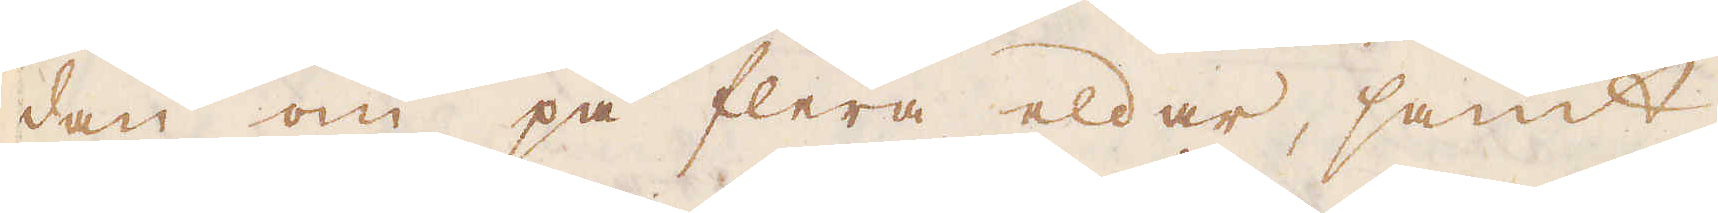dan om på flera eldar, samt
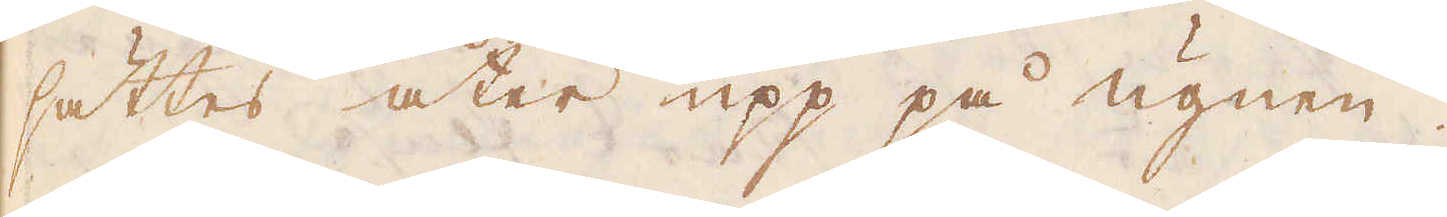sättes åter upp på ugnen.
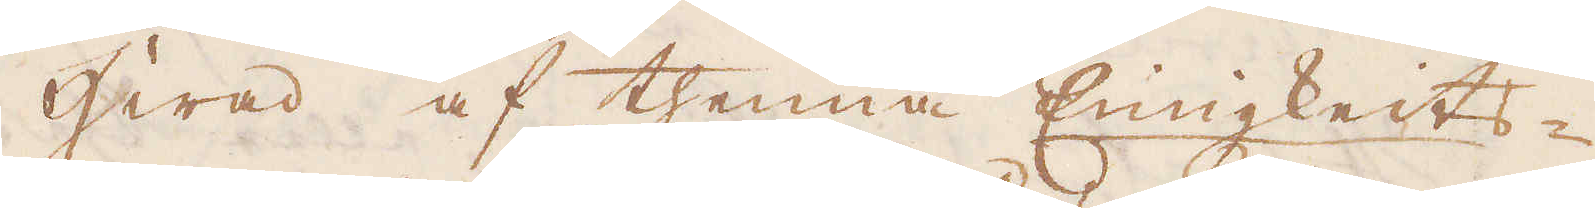Hwad af thenna Einigkeits-
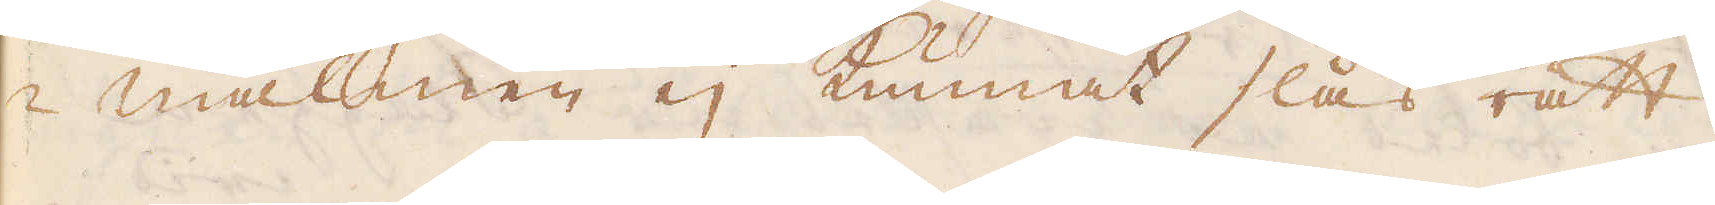-malmen ej kunnat slås rätt
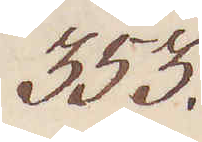353.
